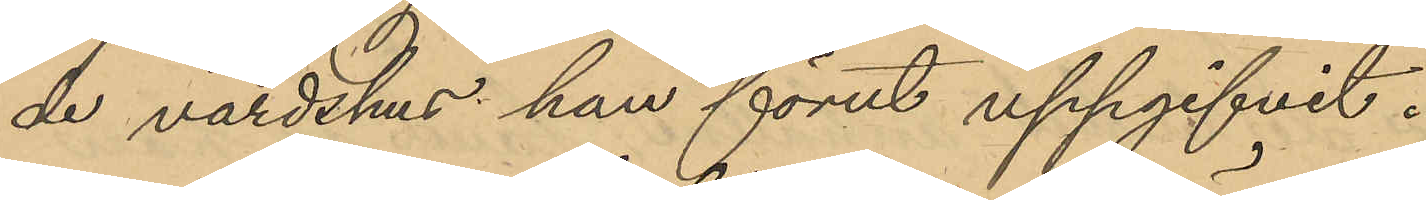de värdshus han förut uppgifvit.
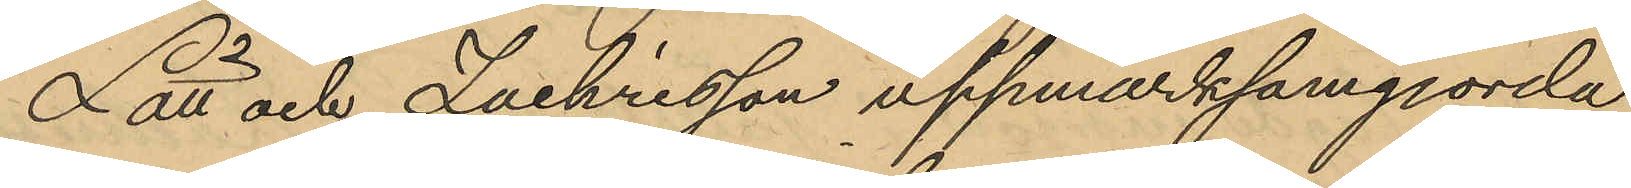Lätt och Zachrisson uppmärksamgjorda
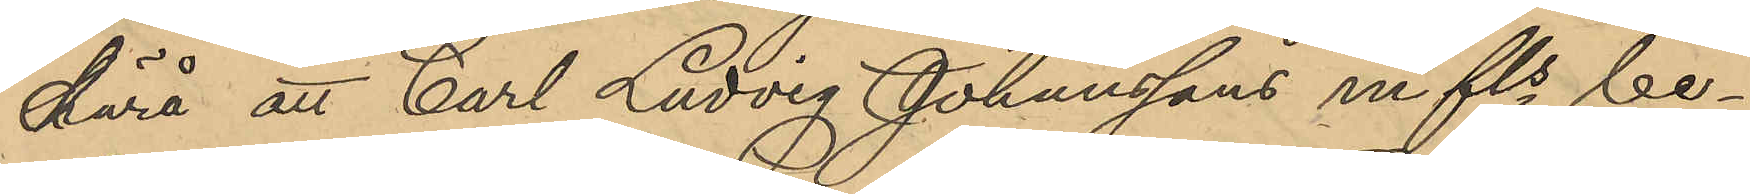därå att Carl Ludvig Johanssons mfls be¬
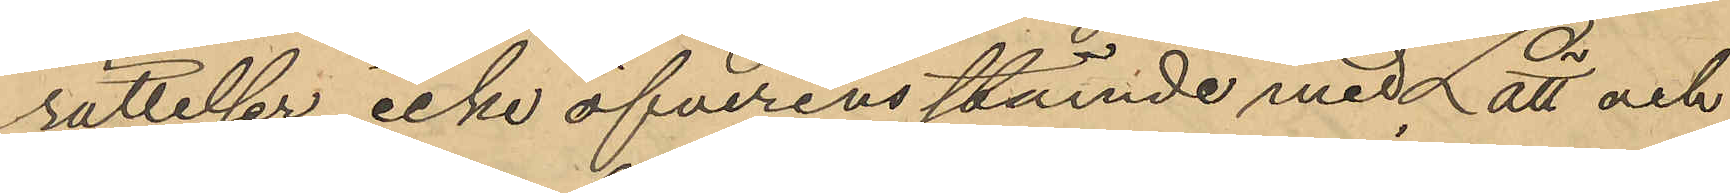rättelser, icke öfverensstämde med Lätt och
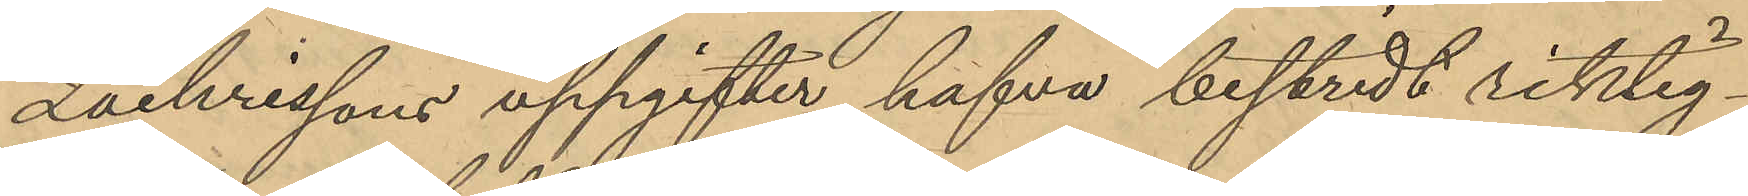Zachrissons uppgifter, hafva bestridt riktig¬
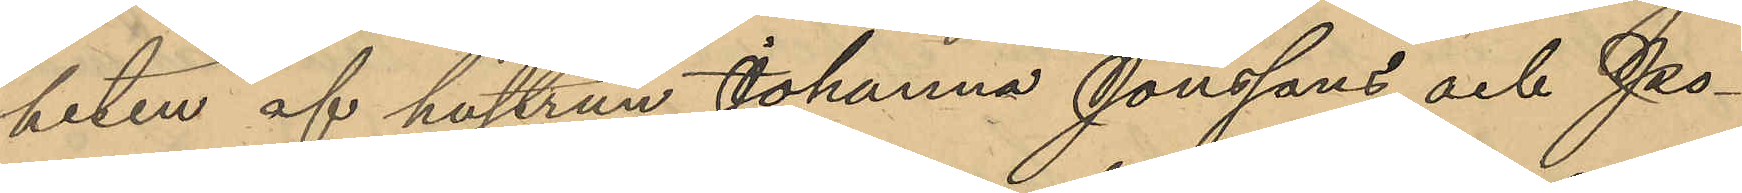heten af hustrun Johanna Jonssons och Po¬
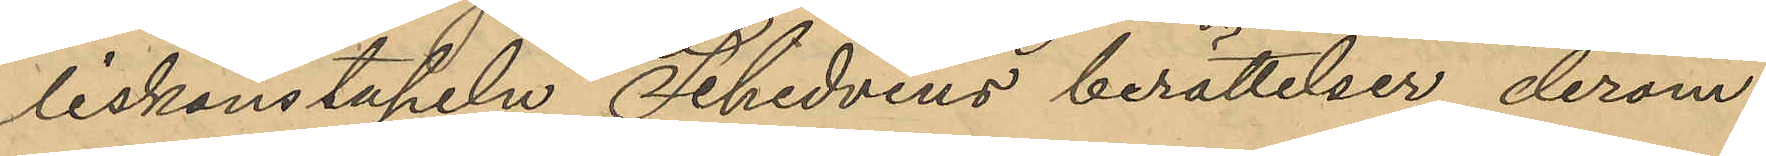liskonstapeln Schedvins berättelser derom
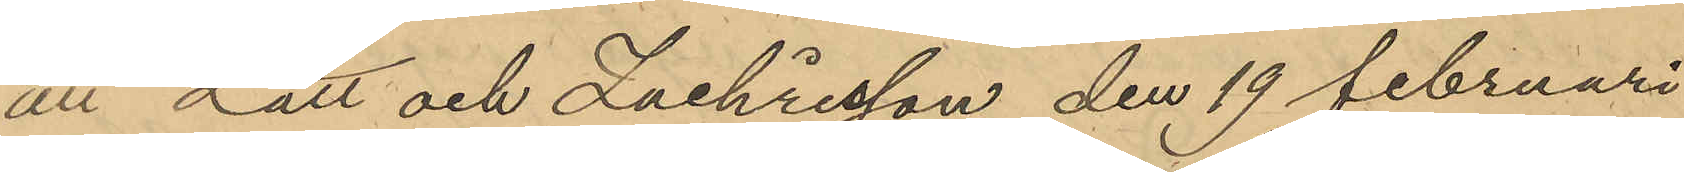att Lätt och Zachrisson den 19 Februari
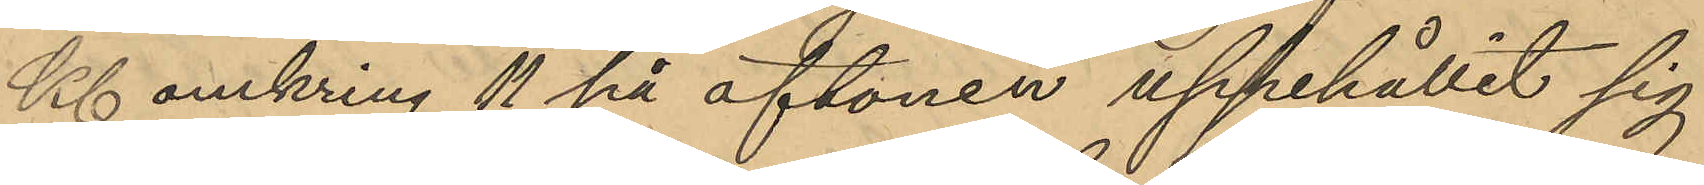Kl. omkring 11 på aftonen uppehållit sig
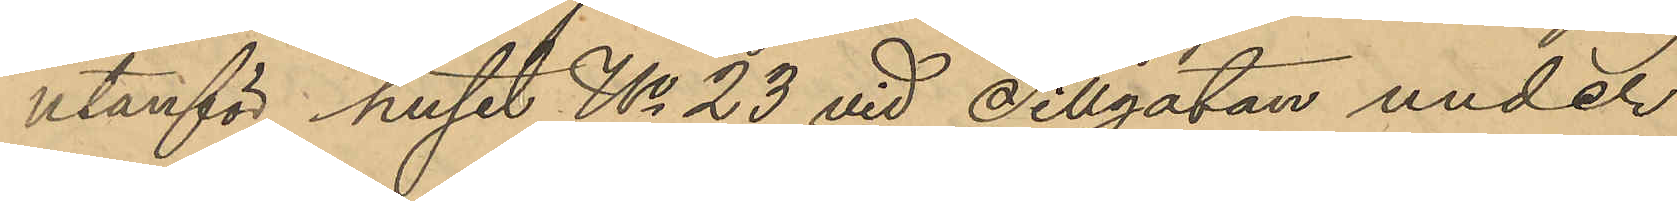utanför huset No 23 vid Sillgatan under
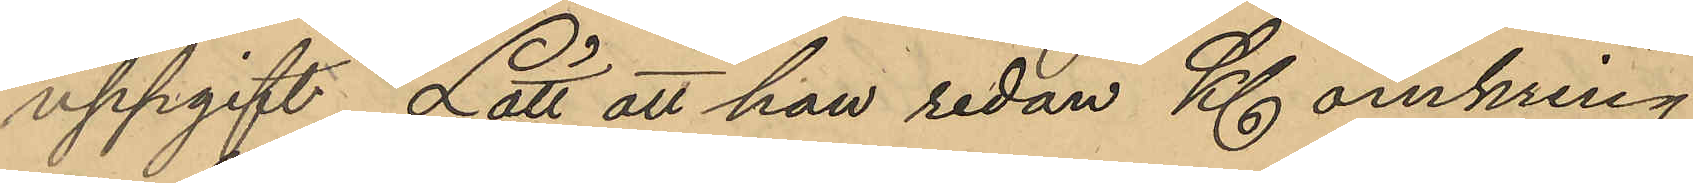uppgift, Lätt att han redan Kl. omkring
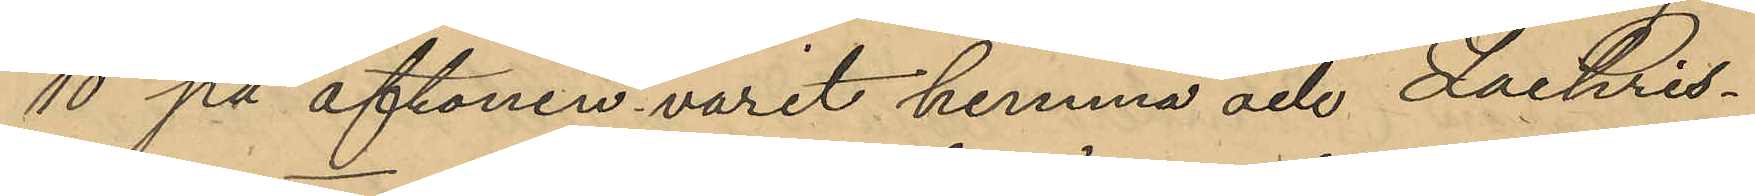10 på aftonen varit hemma och Zachris¬
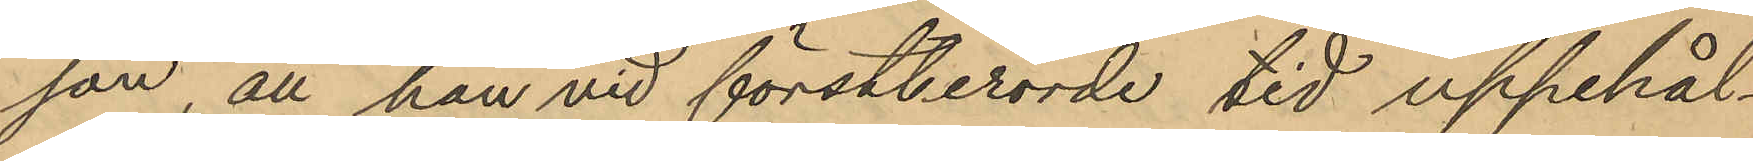son, att han vid förstberörde tid uppehål¬
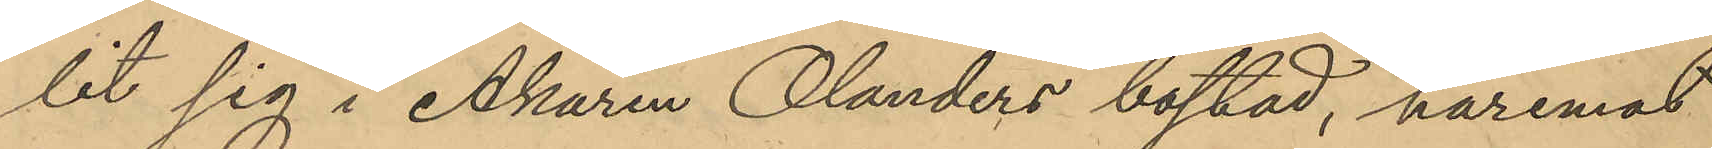lit sig i Åkaren Olanders bostad, haremot
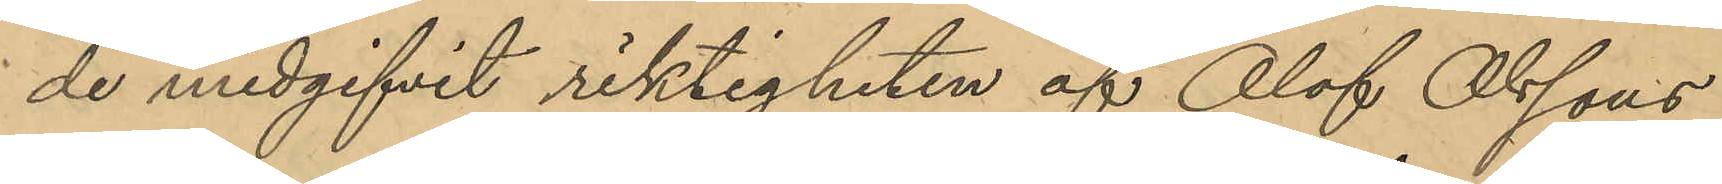de medgifvit riktigheten af Olof Olssons
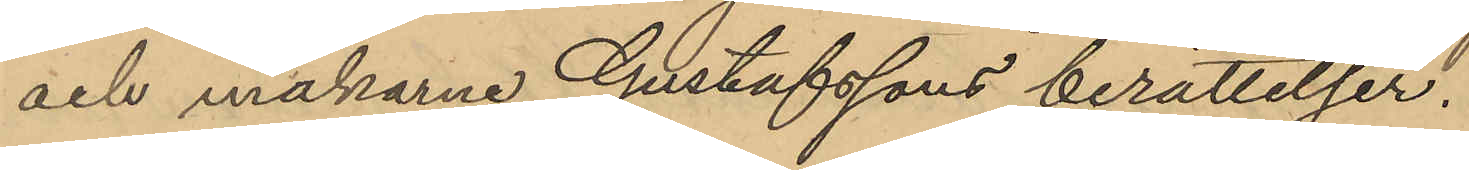och makarne Gustafssons berättelser.
